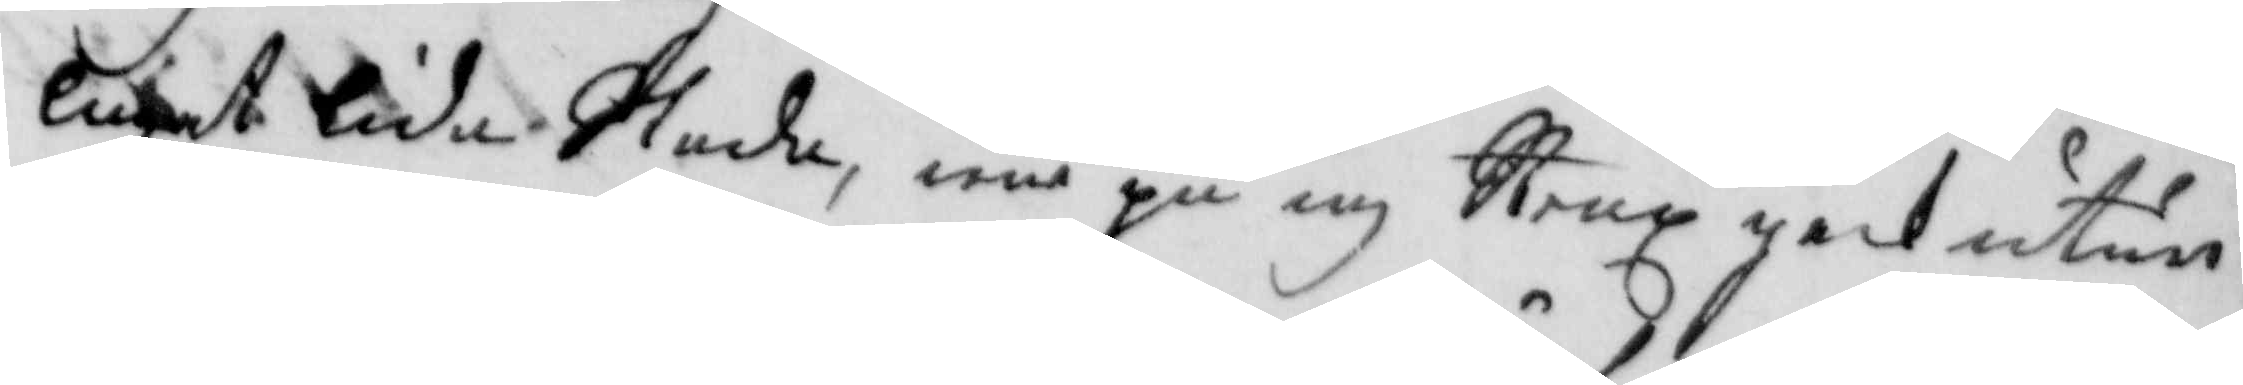luget lida Skada, war på iag Strax geck utur
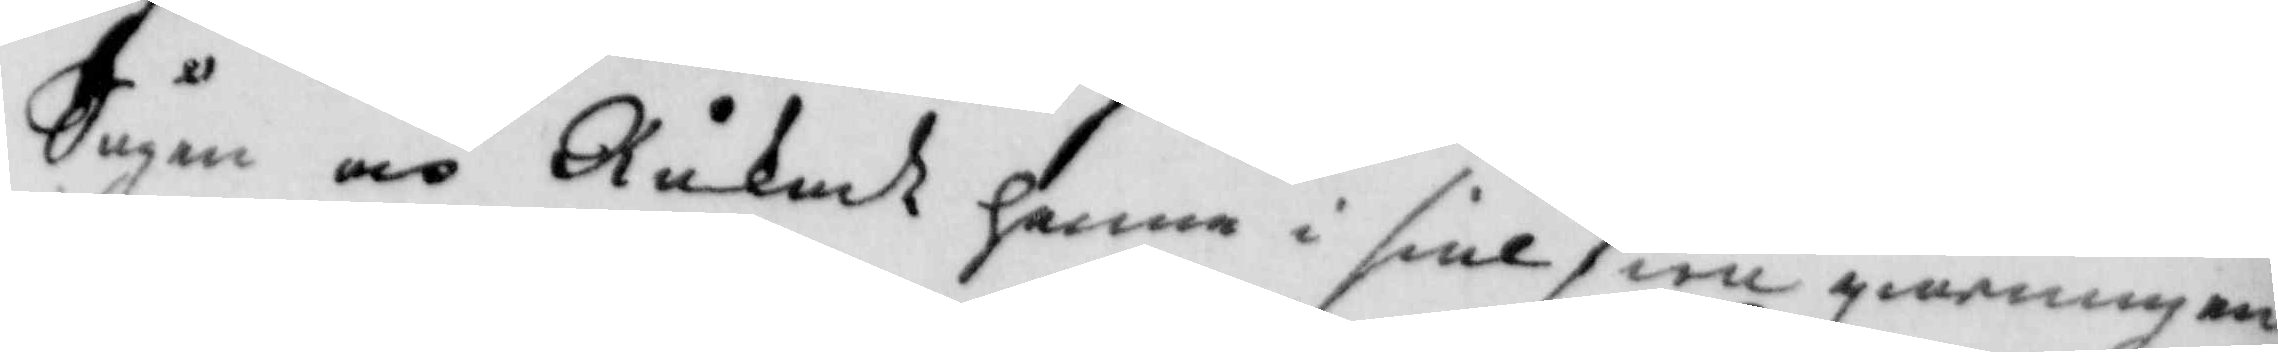Sågen och Råkade henne i siälfwe giärningen,
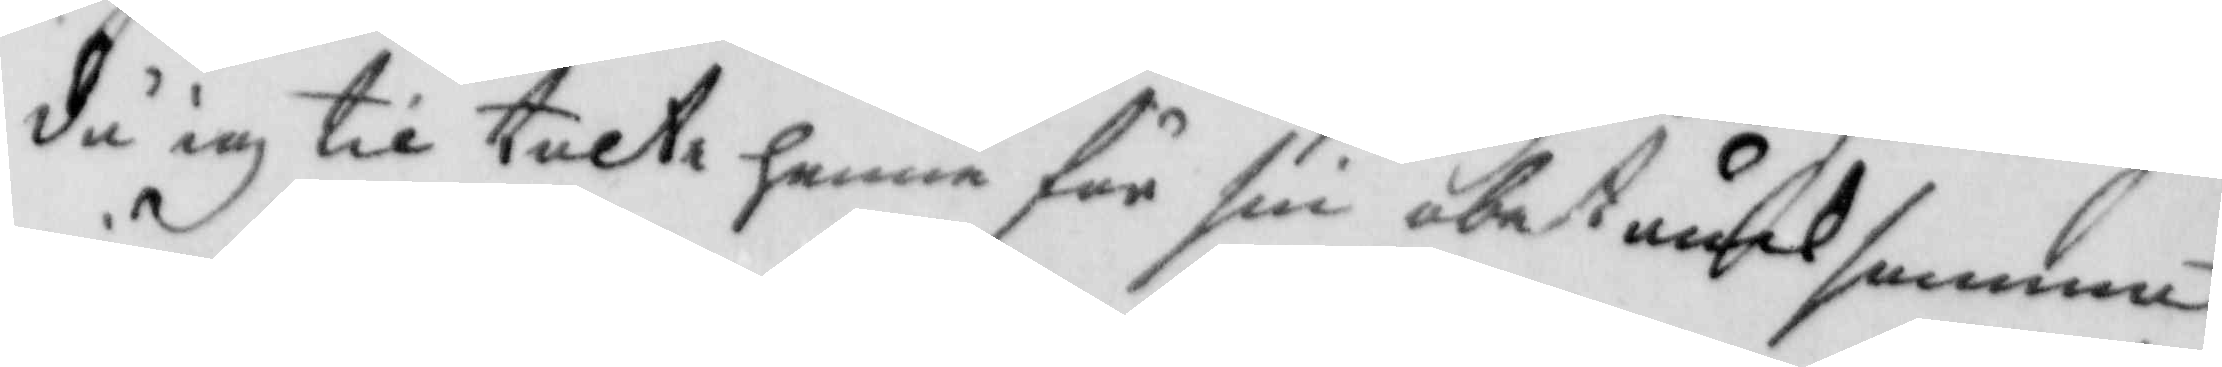då iag til talte henne för sin obat åck samma
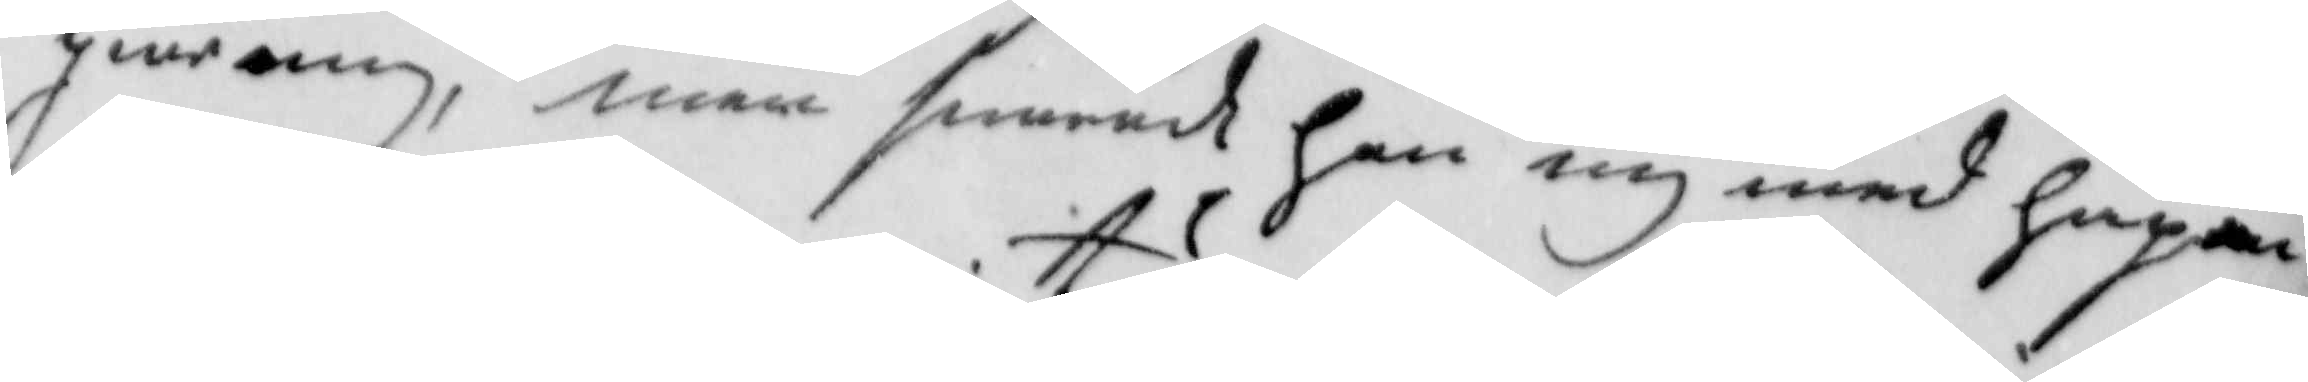giärning, men swarade hon mig med häpen¬
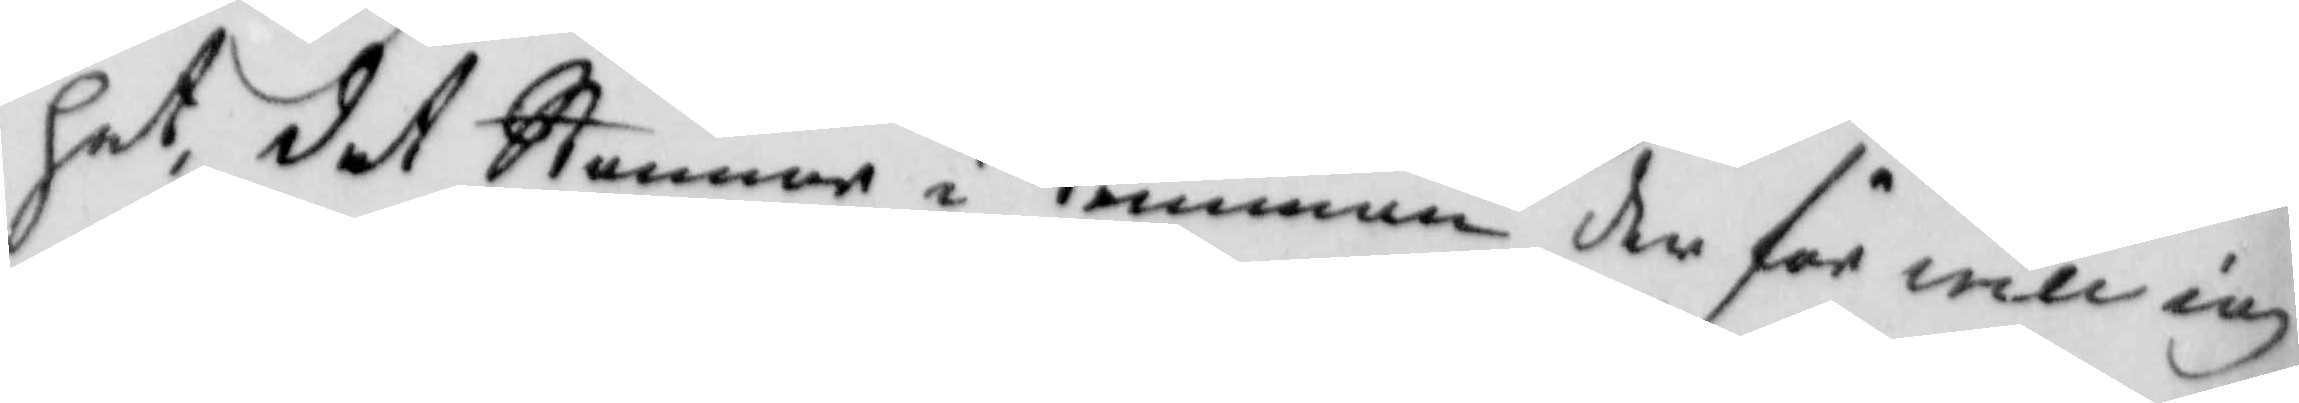het, det Stenar i trumman der för will iag
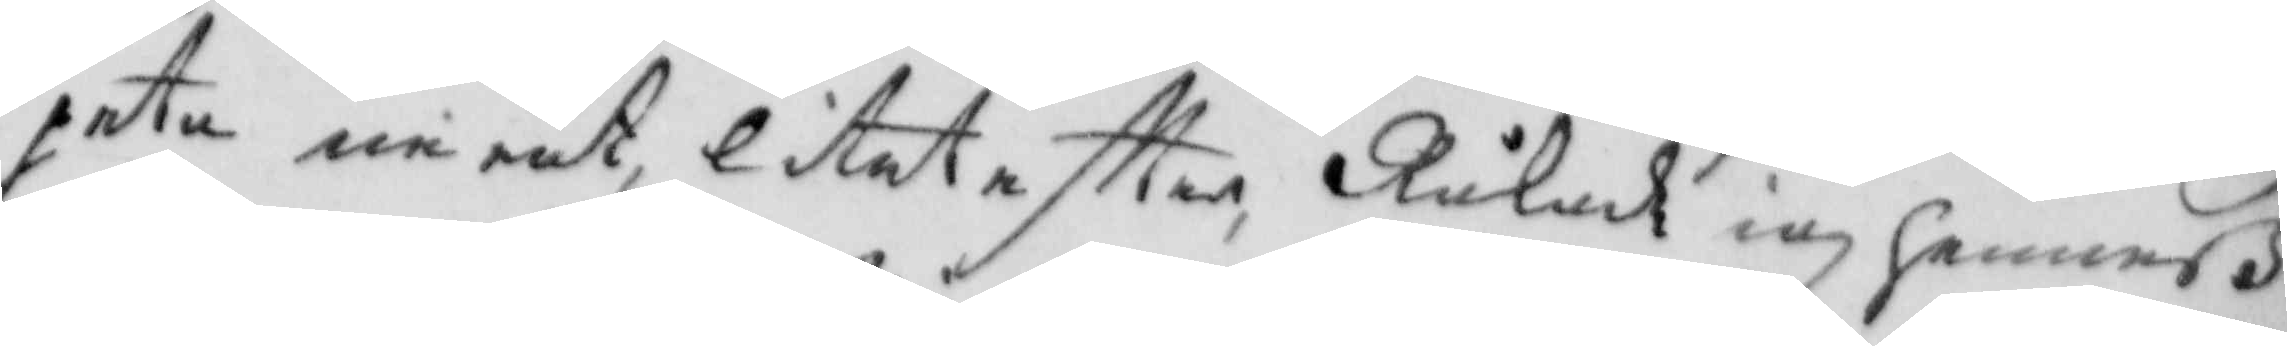peta neråt litet eftter, Råkade iag henneß
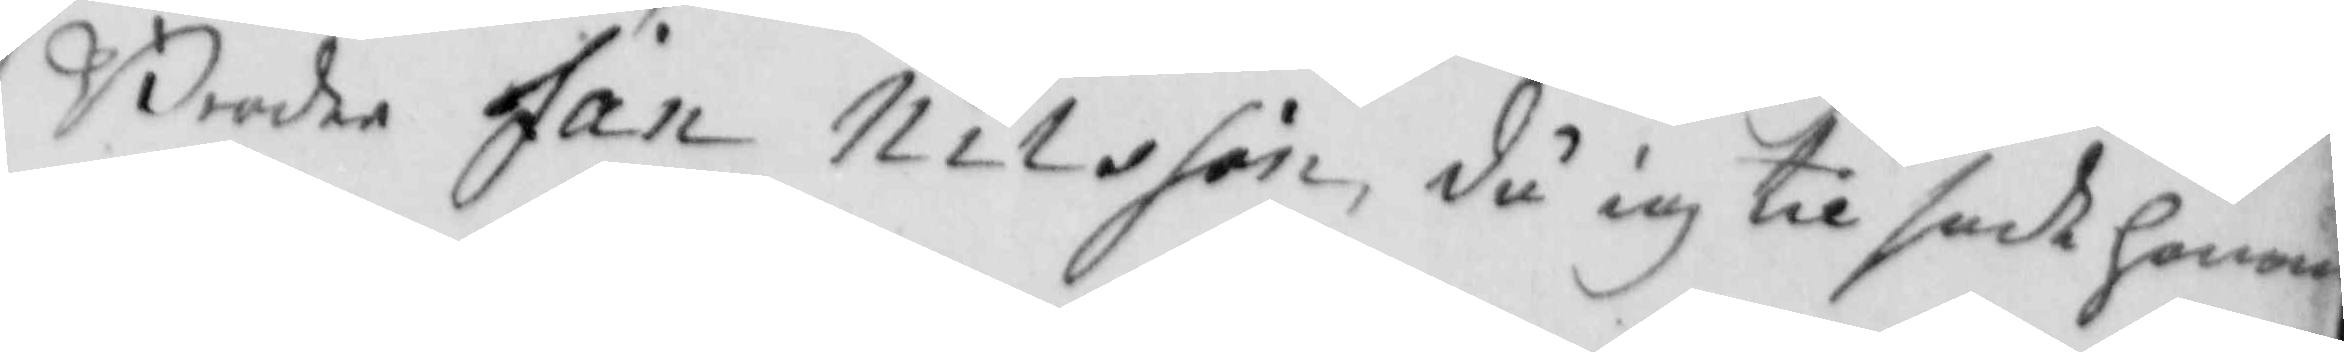Broder Jan Nilsson, då iag til sade honom
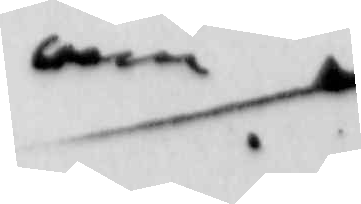om
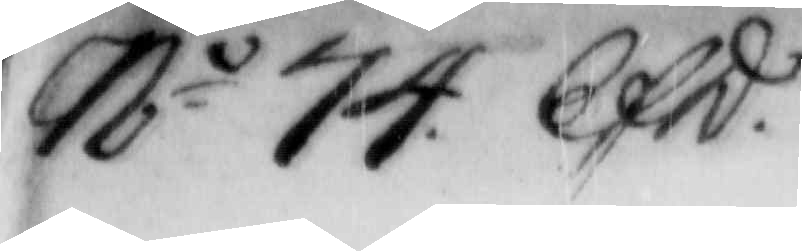N.o 74 Efd. 
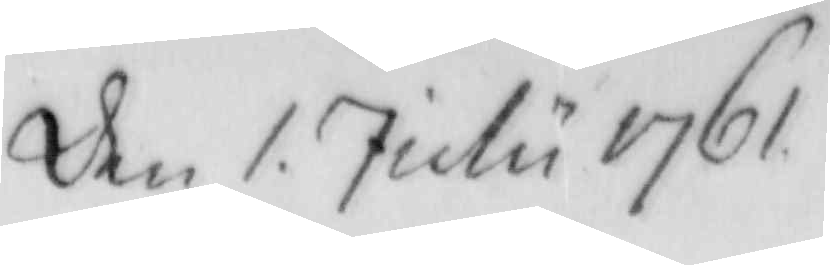Den 1. July 1761
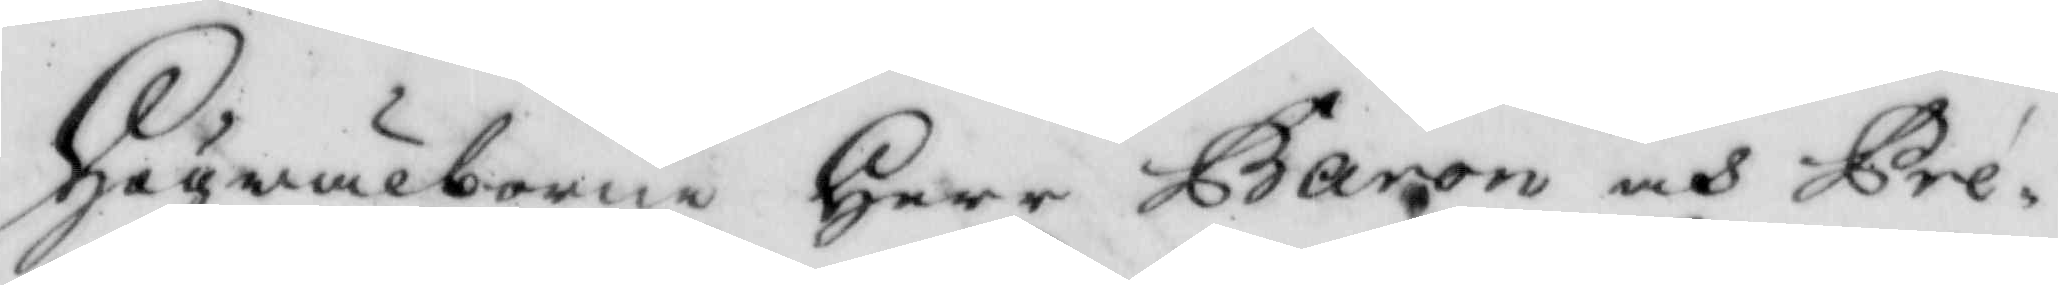Högwälborne Herr Baron och Præ¬
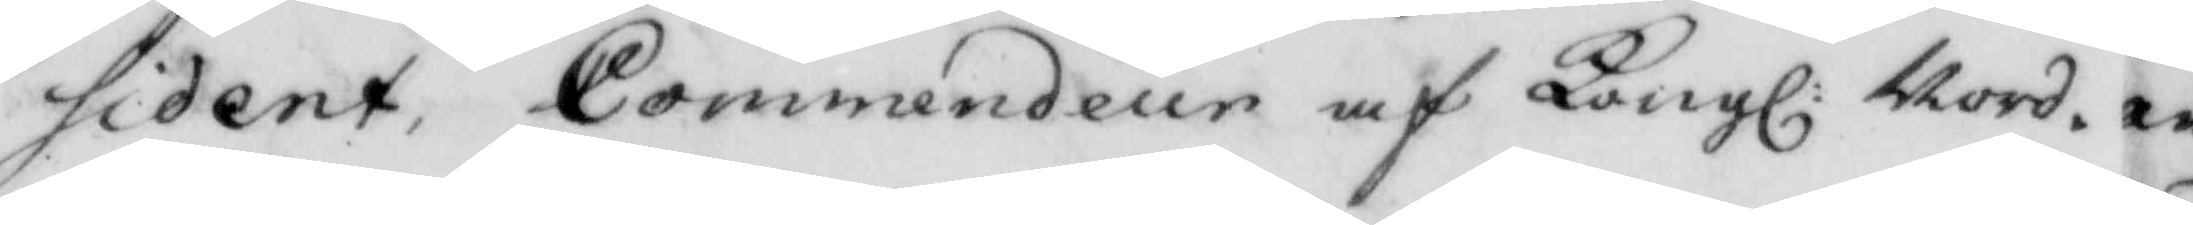sident, Commendeur af Kongl: Nord¬  
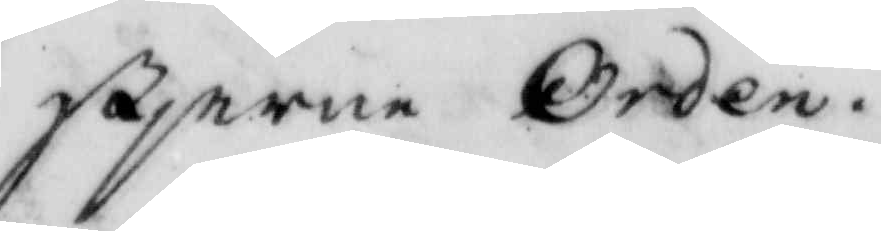stjerne Orden.
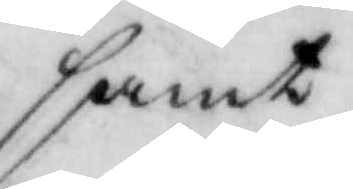samt
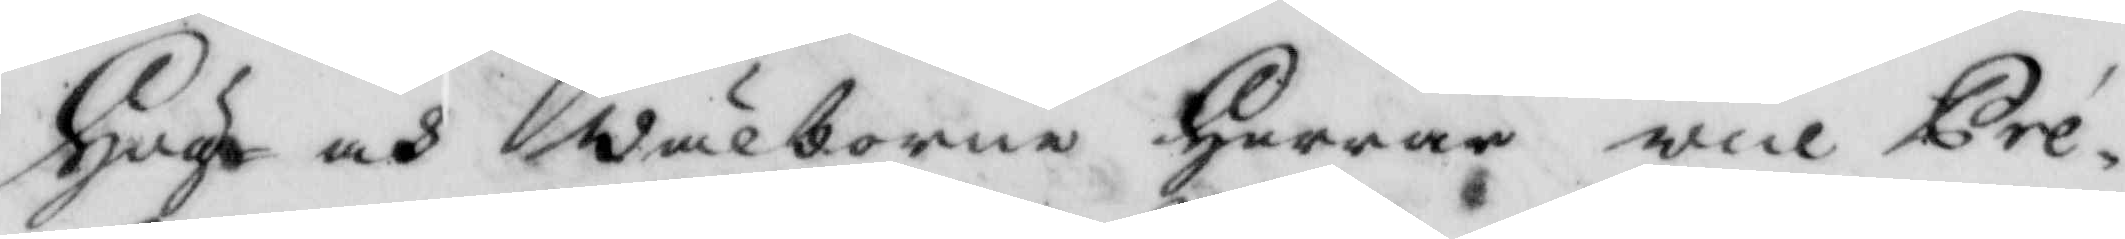Hög- och wälborne Herrar vice Præ¬
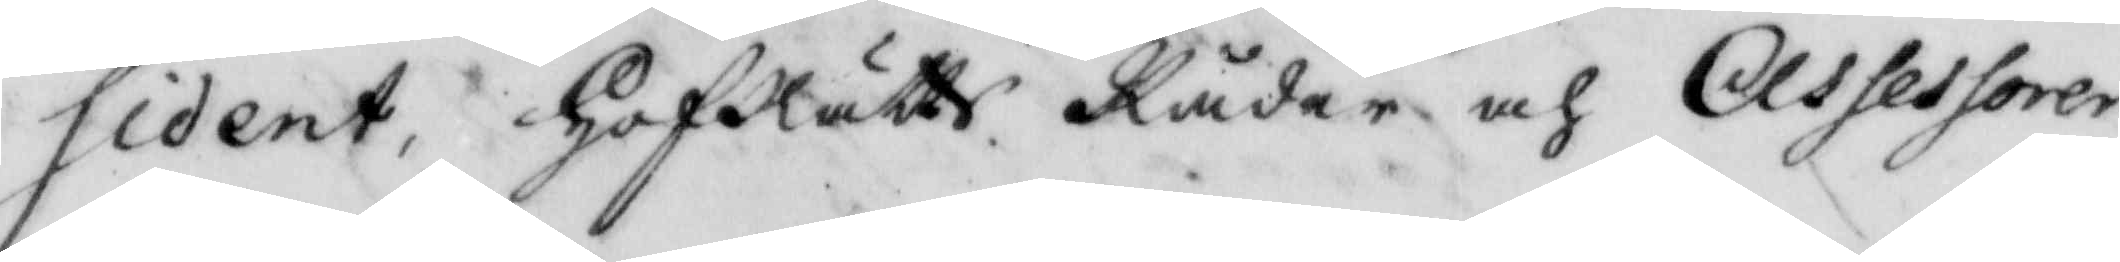sident, HofRätts Råder och Assessorer.
